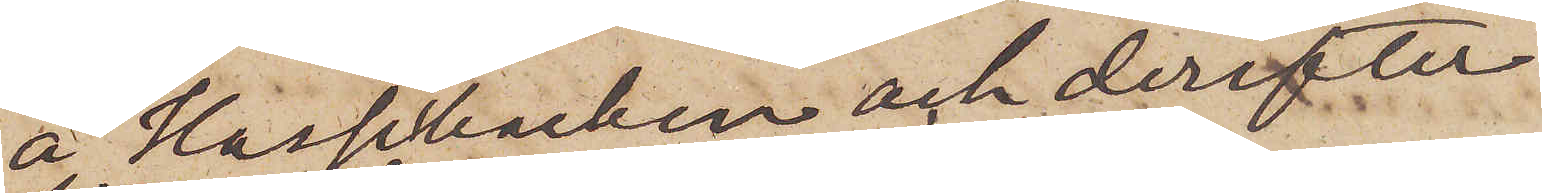å Hasselbacken och derefter
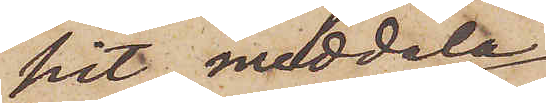hit meddela
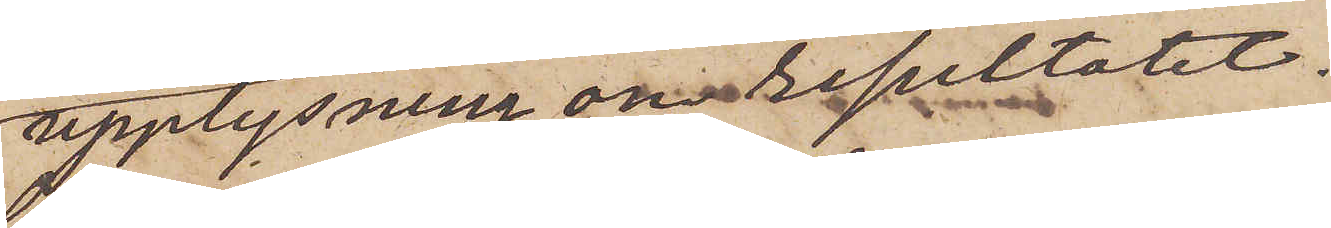upplysning om resultatet.
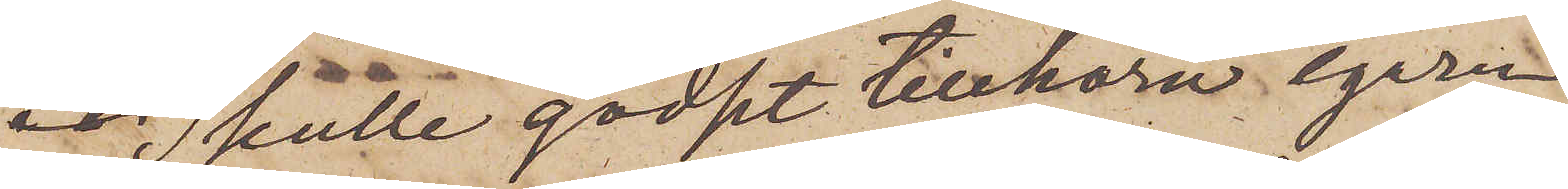Skulle godset tillhöra egaren
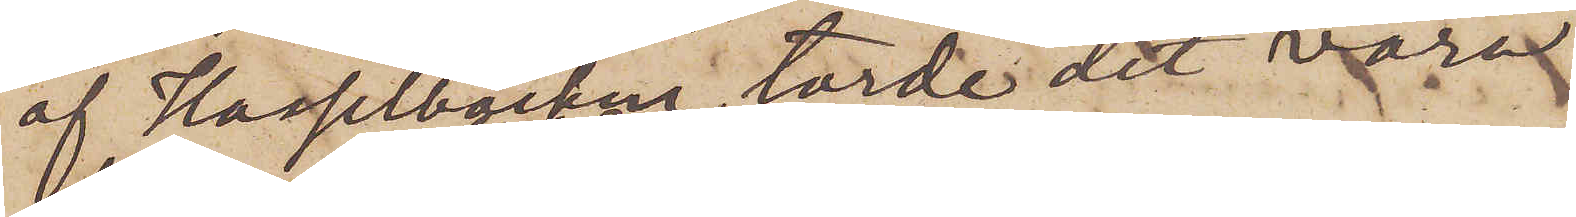af Hasselbacken, torde det vara
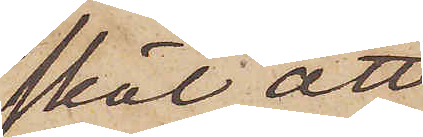skäl att
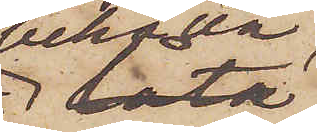behålla
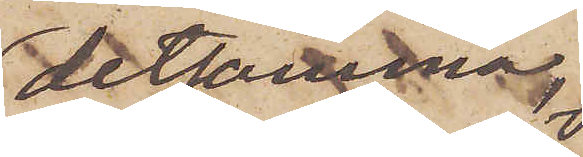detsamma,
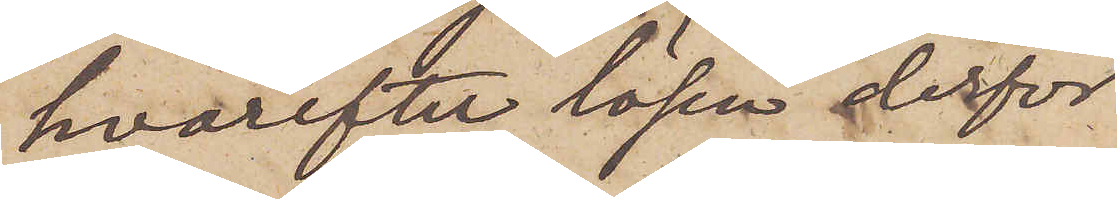hvarefter lösen derför
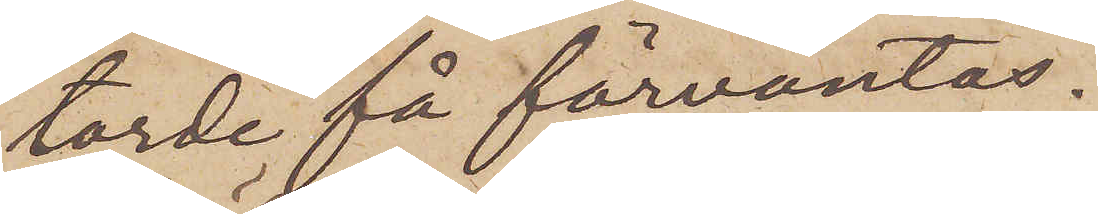torde få förväntas.
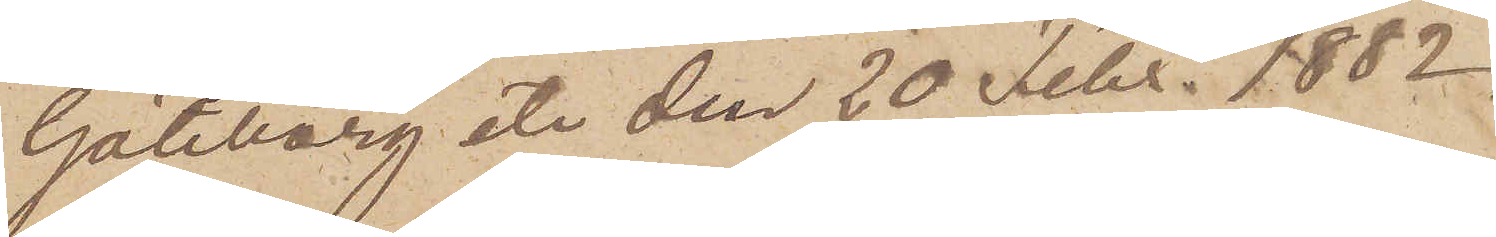Göteborg etc den 20 Febr. 1882.
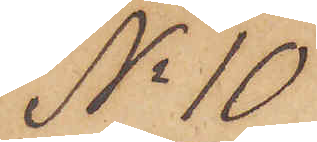No 10
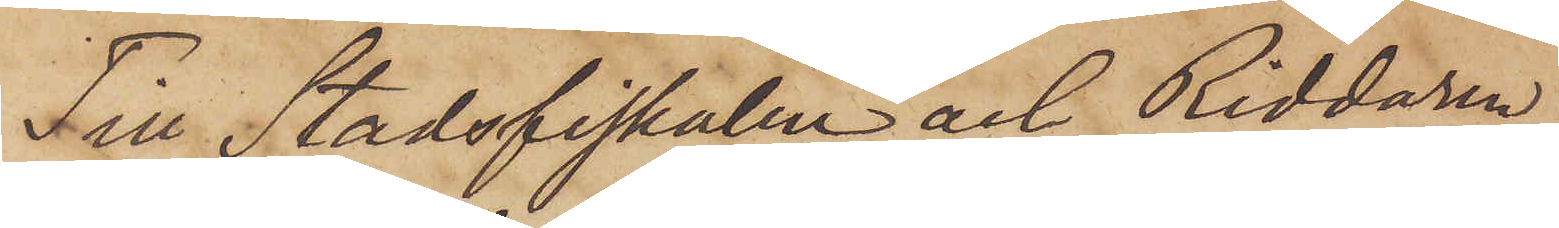Till Stadsfiskalen och Riddaren
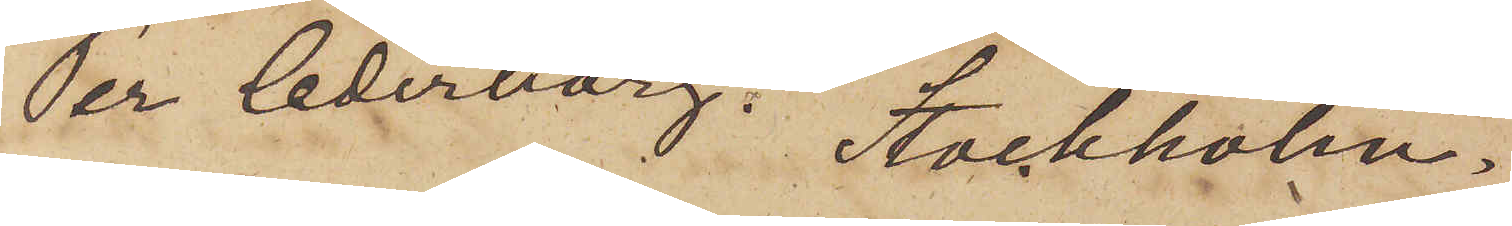Per Cederborg. Stockholm.
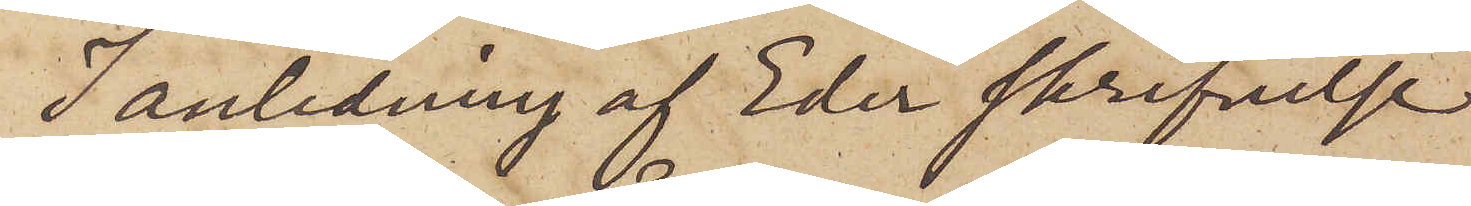I anledning af Eder skrifvelse
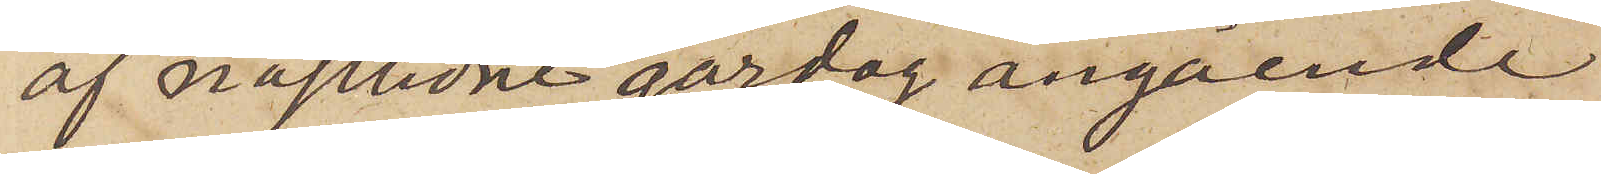af nästlidne gårdag angående
